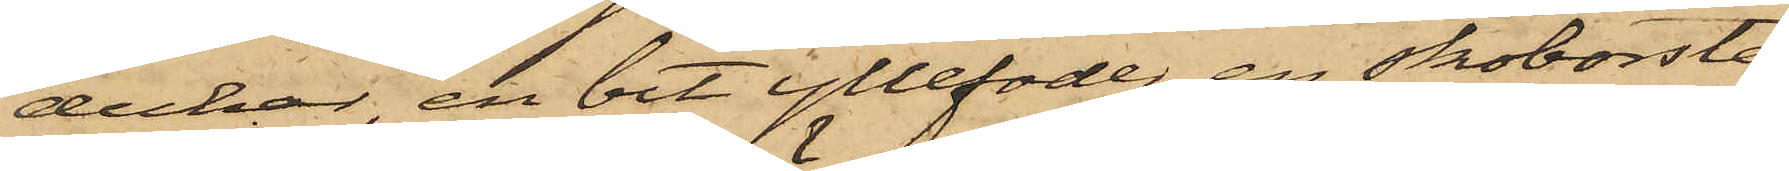dukar, en bit yllefoder, en skoborste
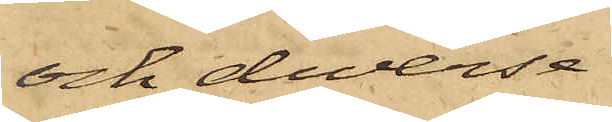och diverse
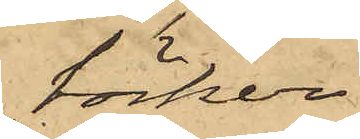böcker.
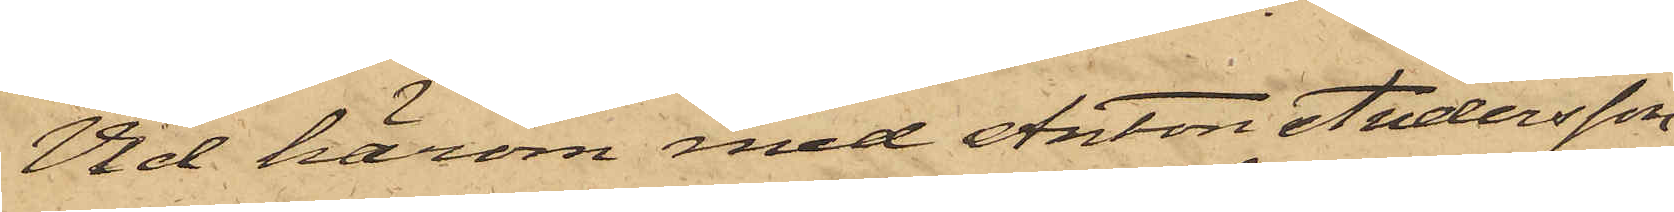Vid härom med Anton Andersson
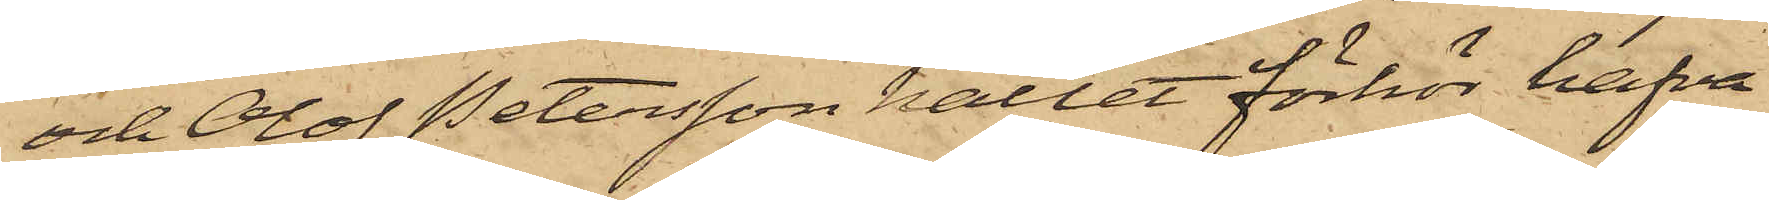och Olof Petersson hållet förhör hafva
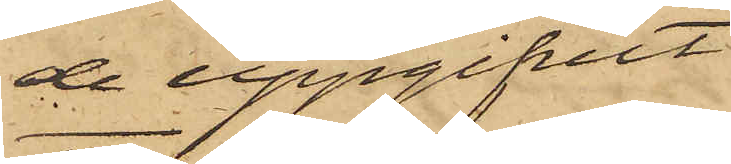de uppgifvit
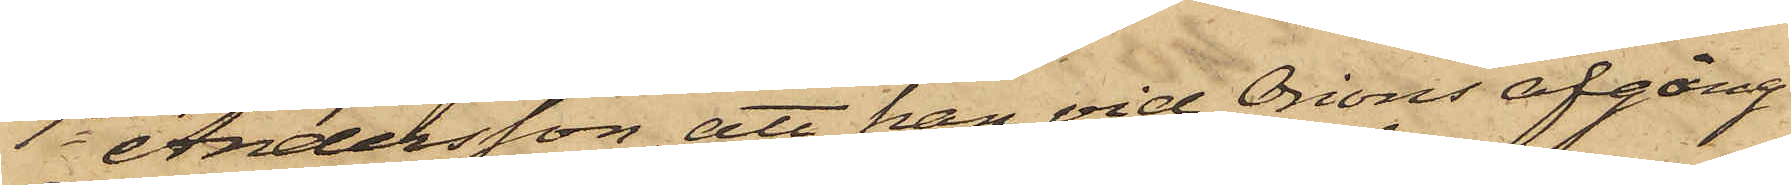1o Andersson, att han vid Orions afgång
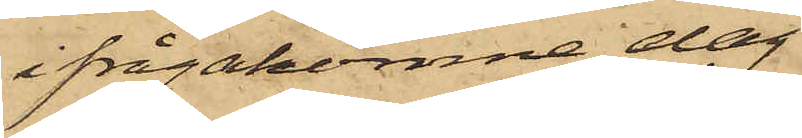ifrågakomne dag
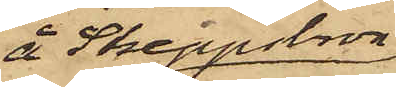å Skeppslson
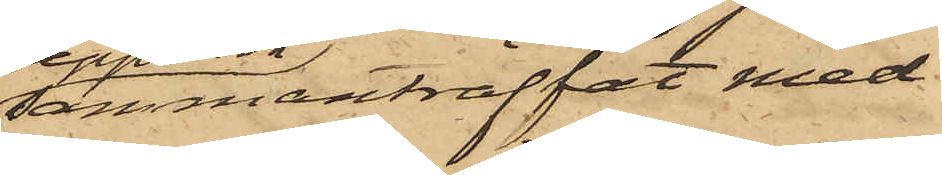sammanträffat med
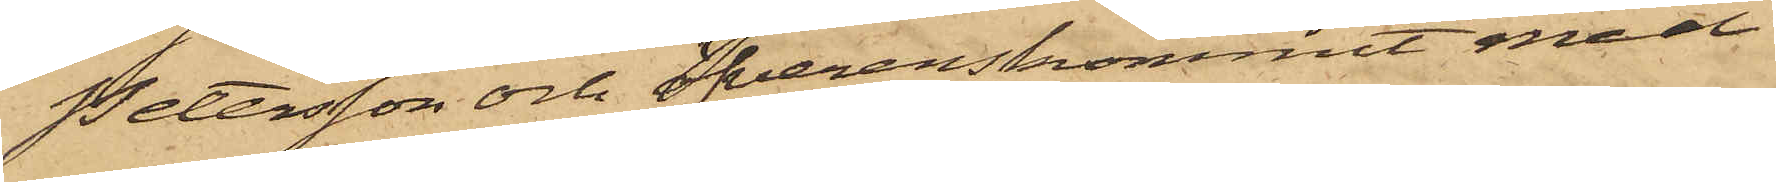Petersson och öfverenskommit med
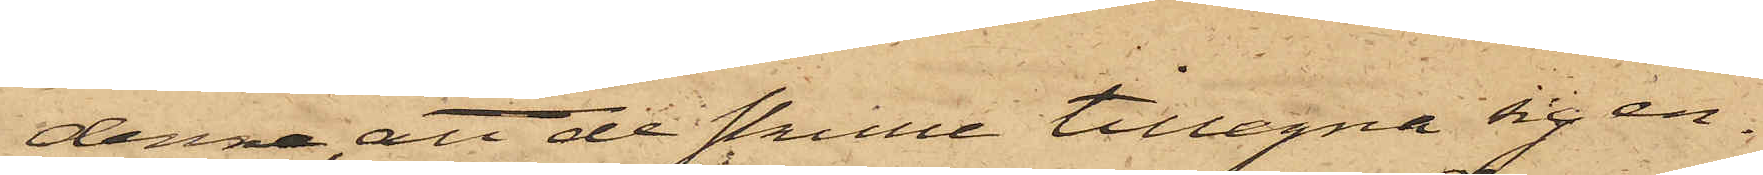denna, att de skulle tillegna sig en
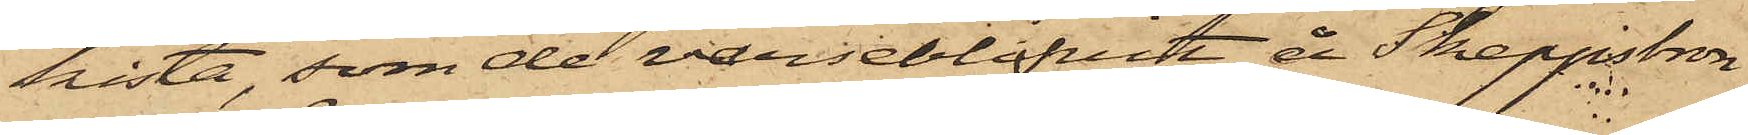kista, som de varseblifvit å Skeppsbron
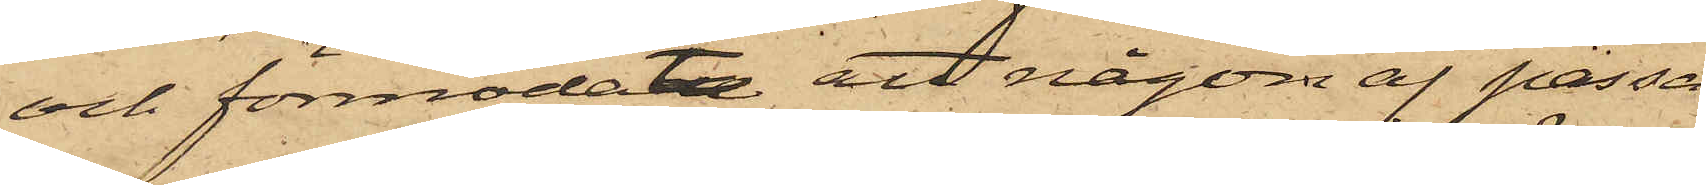och förmodade att någon af passa¬
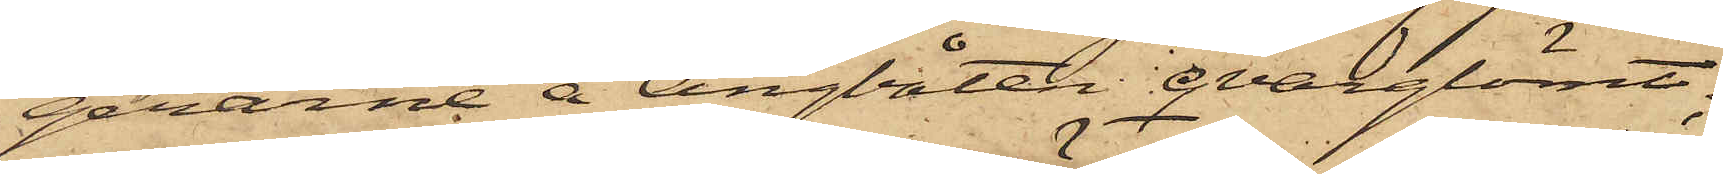gerarne å Ångbåten qvarglömt;
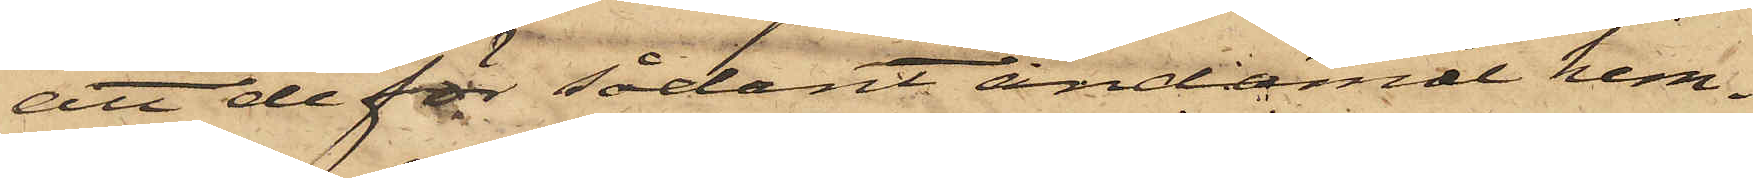att de för sådant ändamål hem¬
